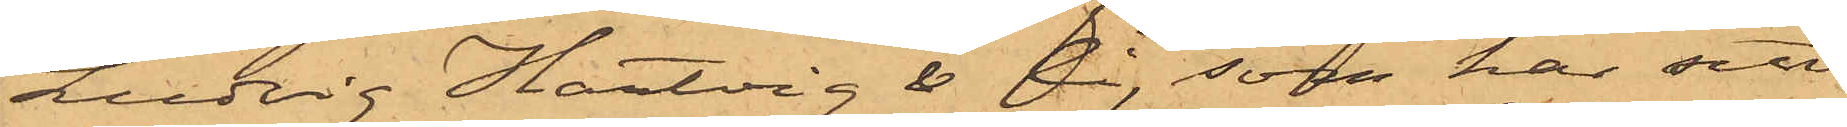Ludvig Hartvig & Ci, som har sitt
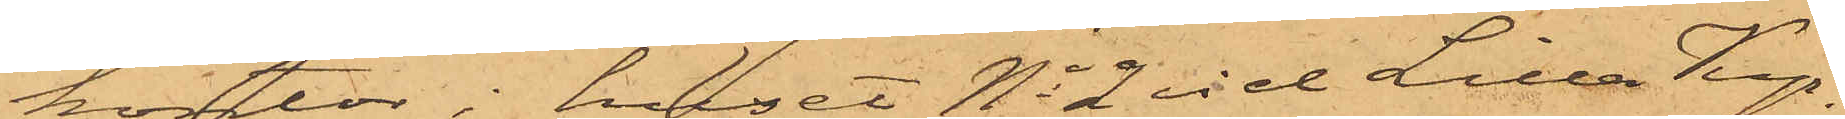kontor i huset No 2 vid Lilla Kyr¬
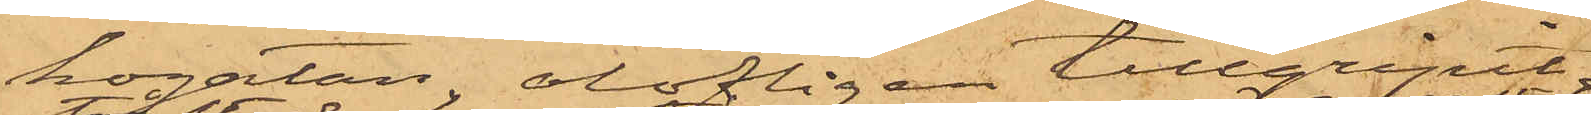kogatan, olofligen tillgripit
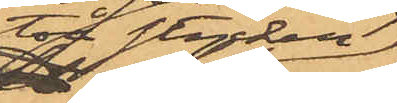två stycken
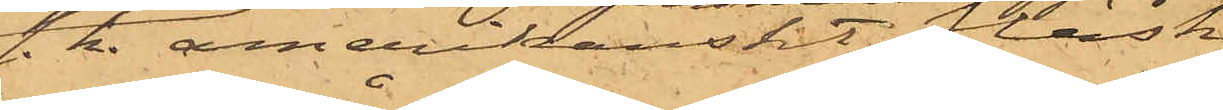s.k. amerikanskt fläsk
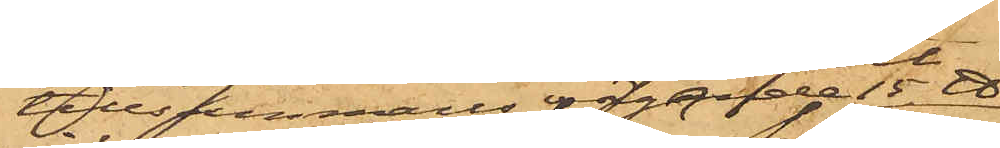tillsammans vägande 15 ℔,
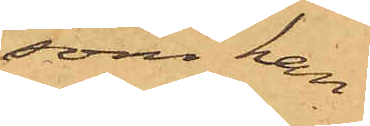som han
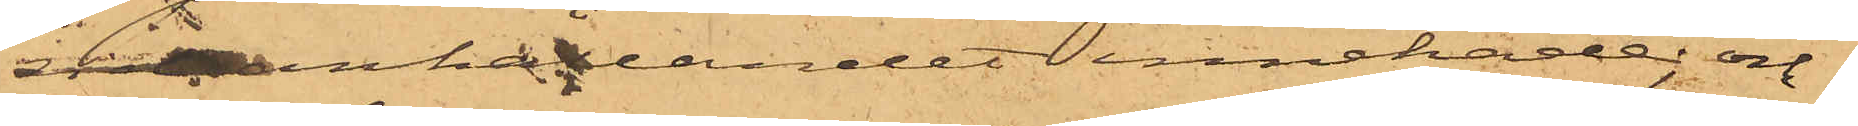vid anhållandet innehade; och
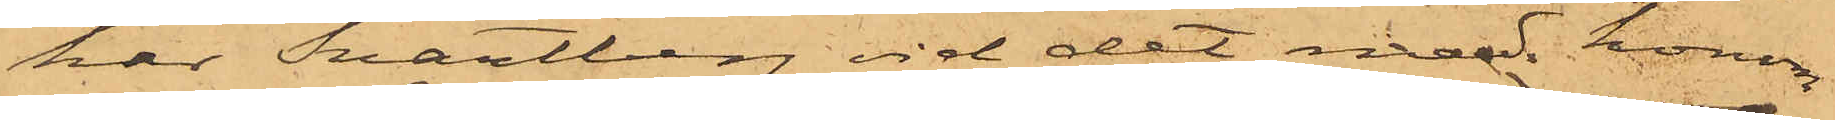har Svartberg vid det med honom
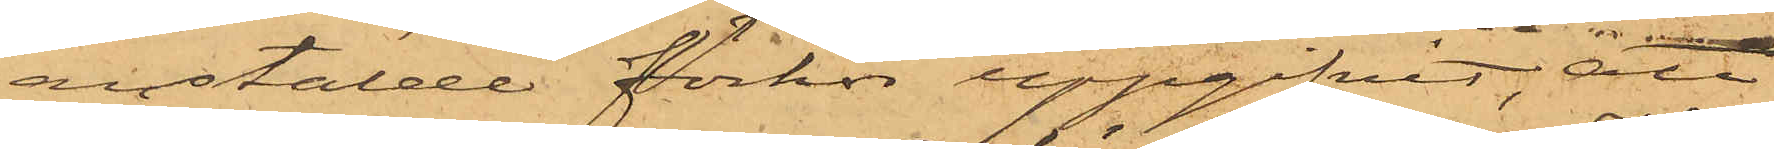anstälde förhör uppgifvit, att
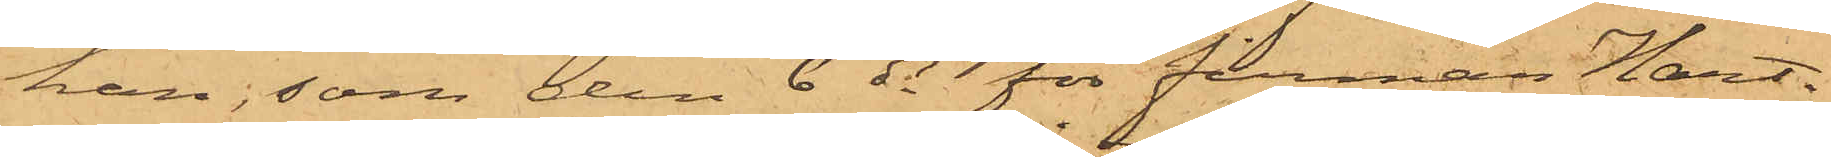han, som den 6 ds för firman Hart¬
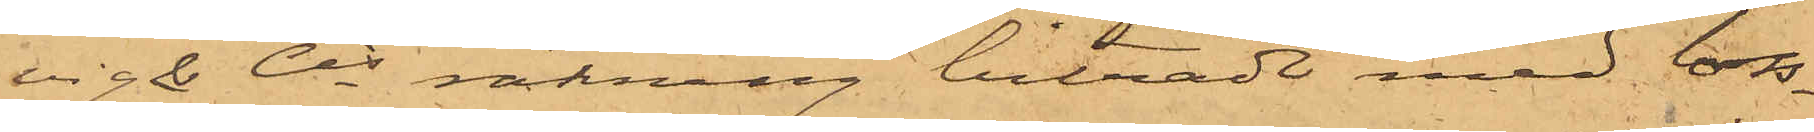vig & Cis räkning biträdt med loss¬
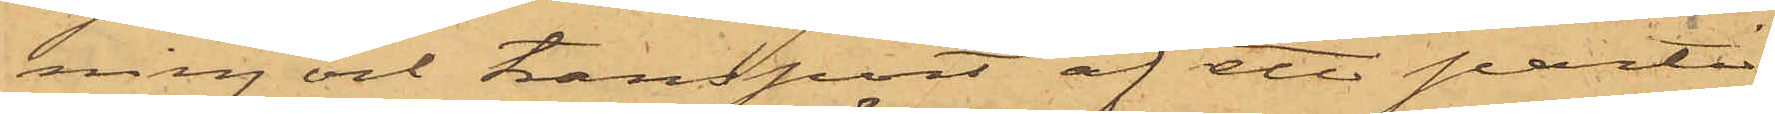ning och transport af ett parti
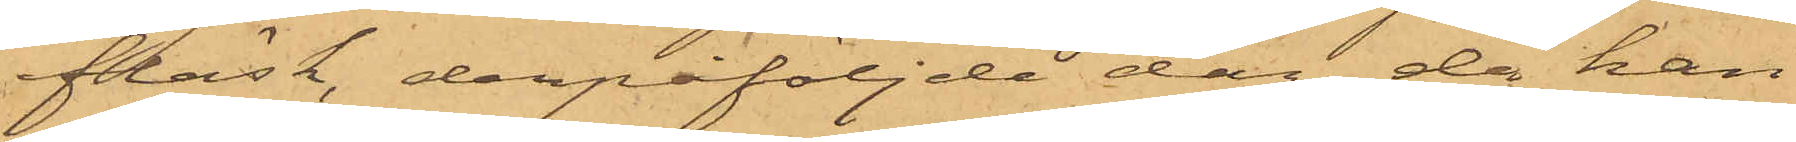fläsk, derpåföljde dag, då han
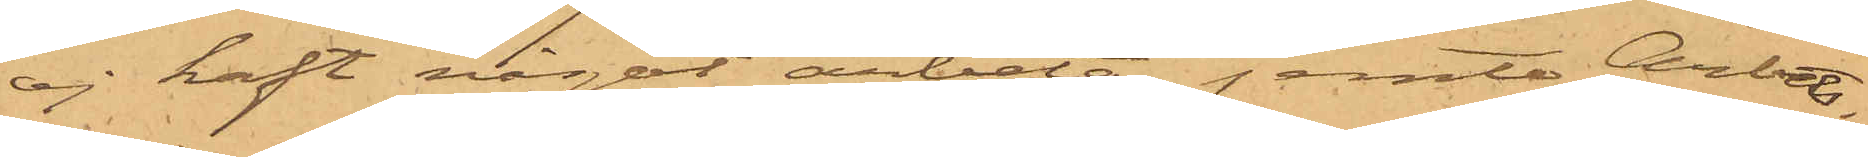ej haft något arbete, jemte Arbets¬
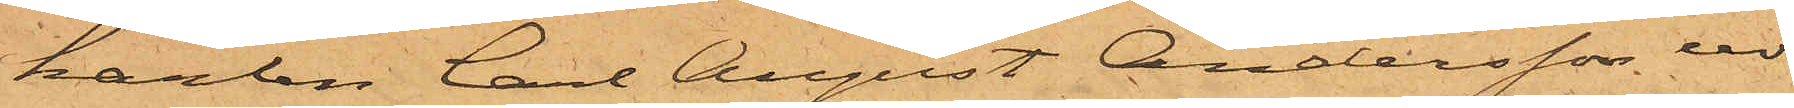karlen Carl August Andersson ur
